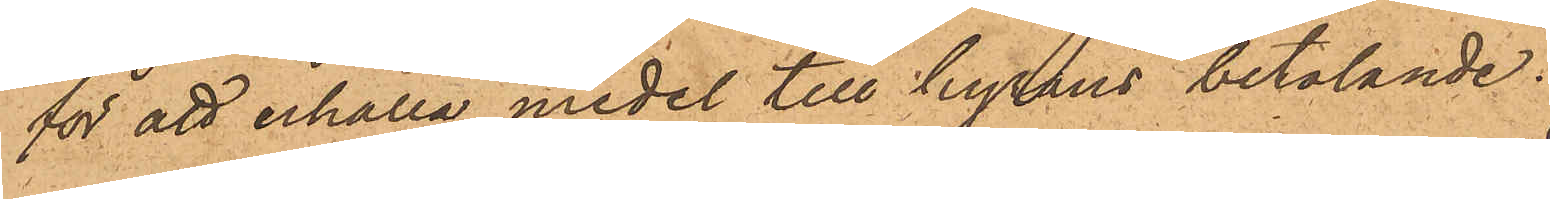för att erhålla medel till hyrans betalande.
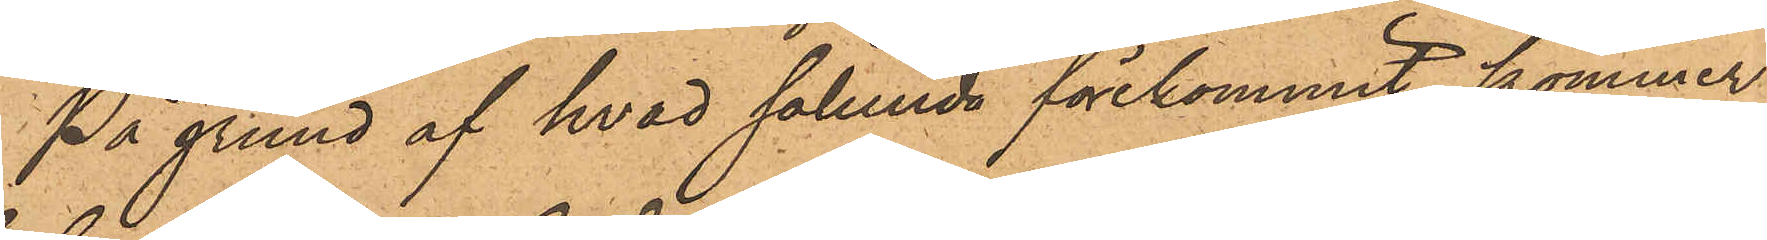På grund af hvad sålunda förekommit, kommer
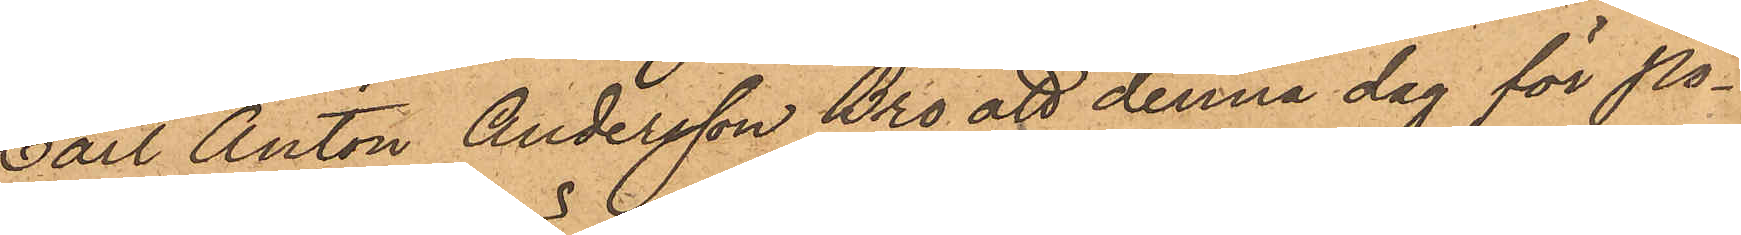Carl Anton Andersson Bro att denna dag för Po¬
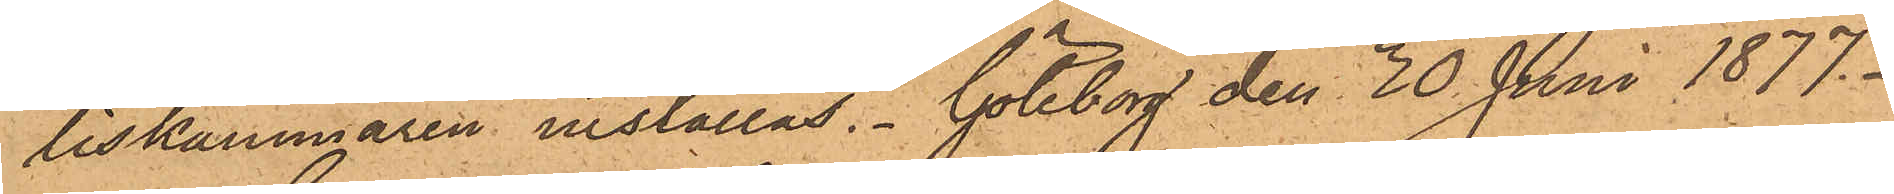liskammaren inställas. Göteborg den 30 Juni 1877.
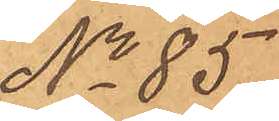No 85
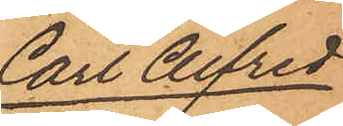Carl Alfred
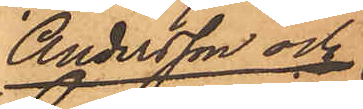Andersson och
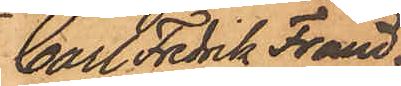Carl Fredrik Fränd¬
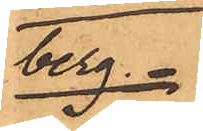berg
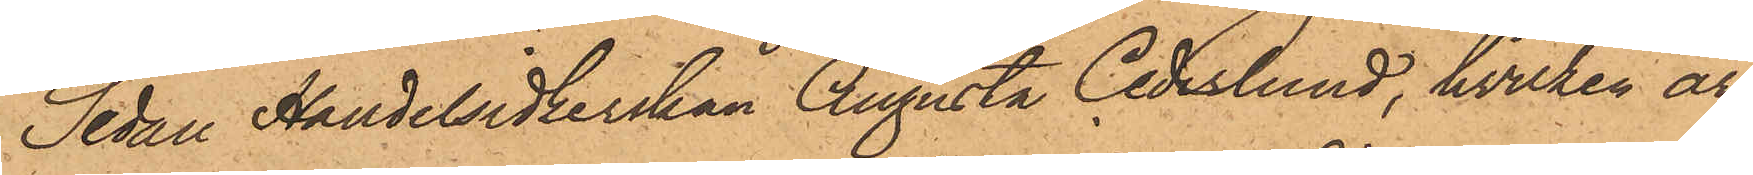Sedan Handelsidkerskan Augusta Cedeslund, hvilken är
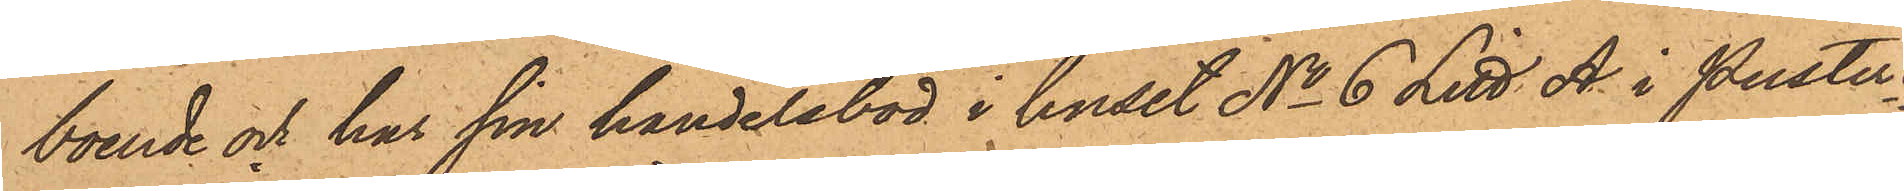boende och har sin handelsbod i huset No 6 Litt. A i Puster¬
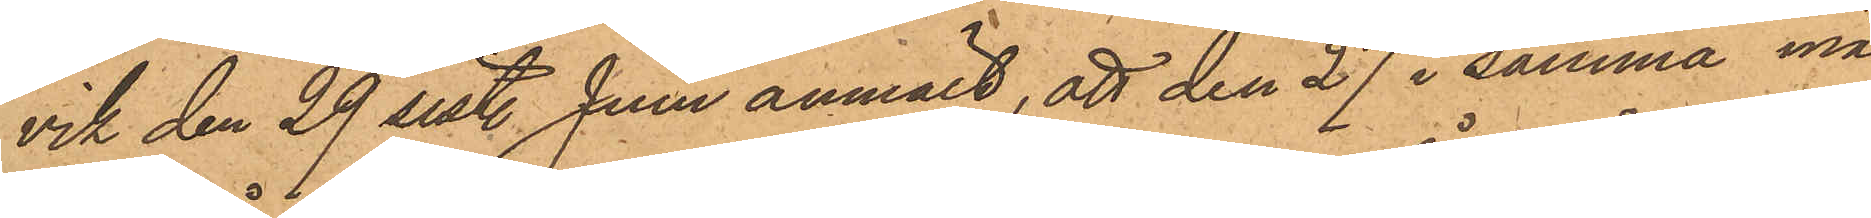vik den 29 sistl. Juni anmält, att den 27 i samma må¬
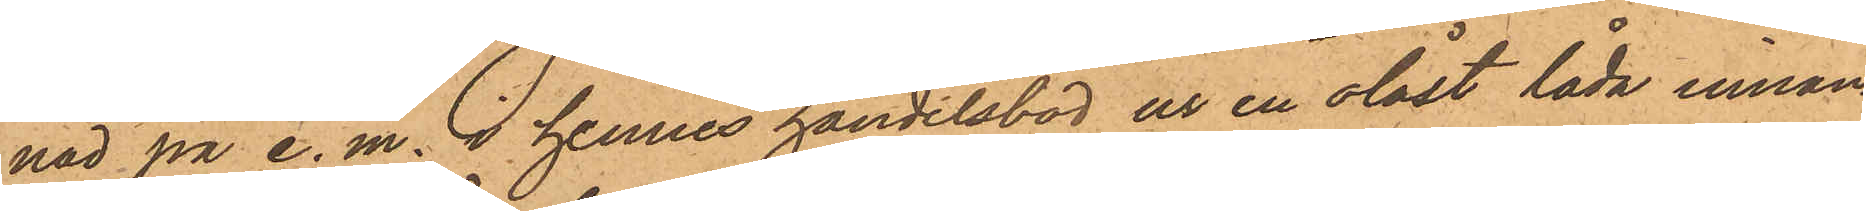nad på e. m. i hennes handelsbod ur en olåst låda innan¬
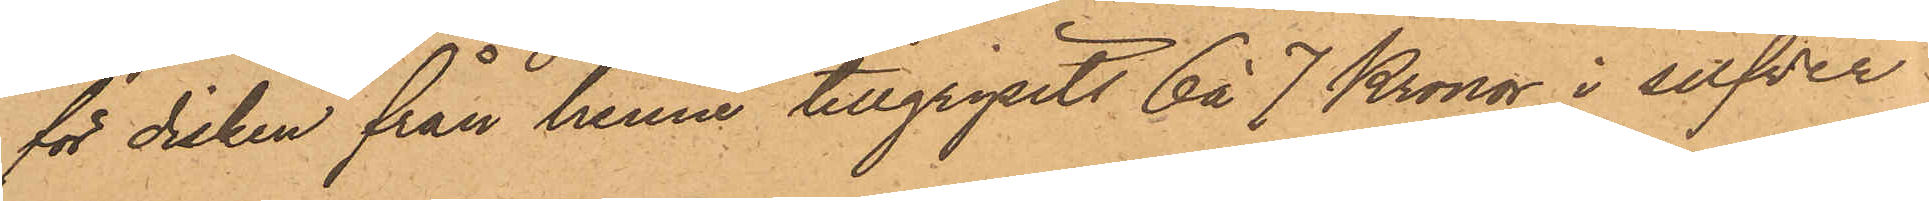för disken från henne tillgripits 6 á 7 Kronor i silfver
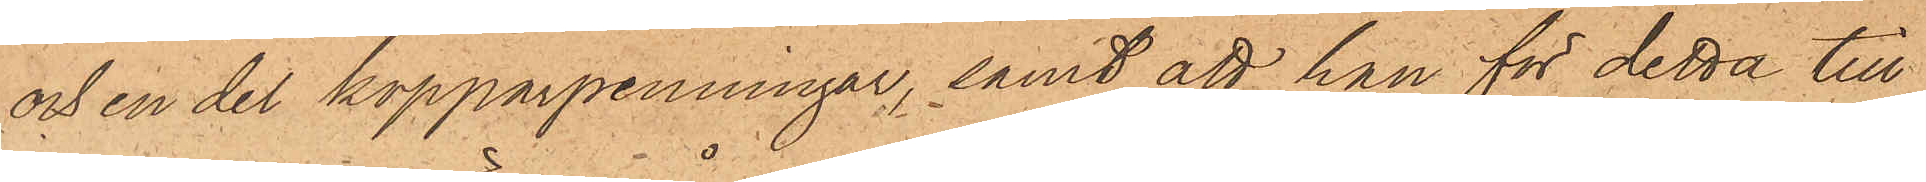och en del kopparpenningar, samt att han för detta till¬
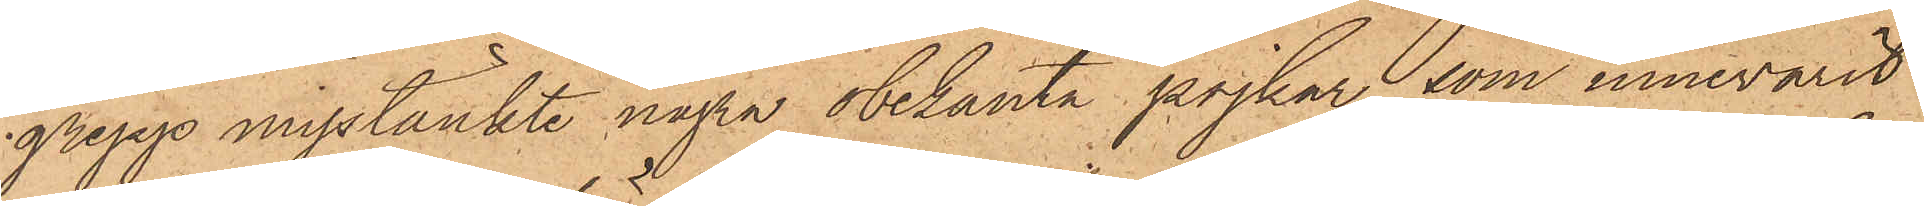grepp misstänkte några obekanta pojkar, som innevarit
